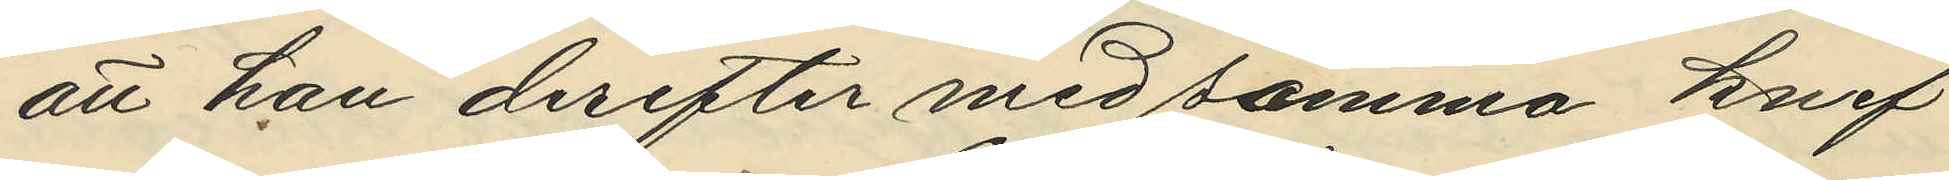att han derefter med samma knif
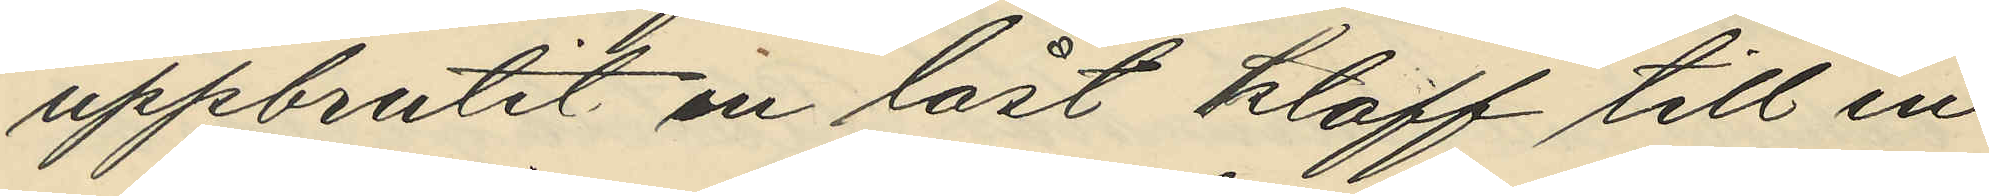uppbrutit en låst klaff till en
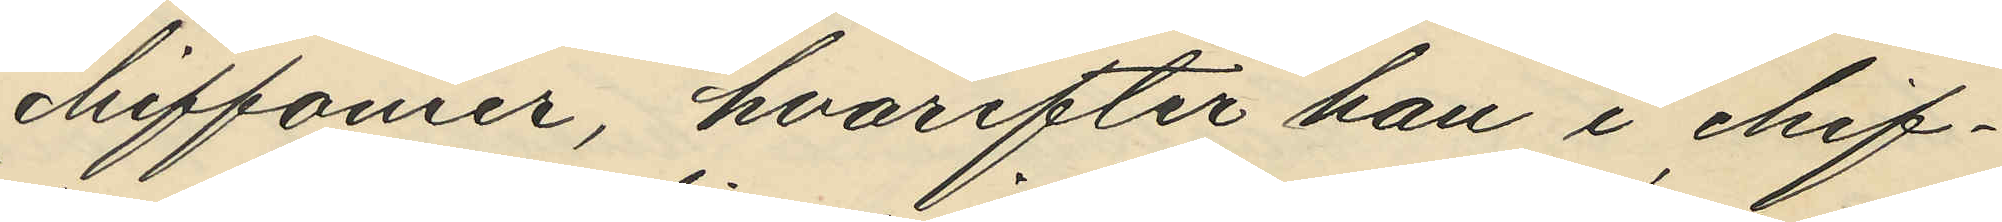chiffonier, hvarefter han i chif¬
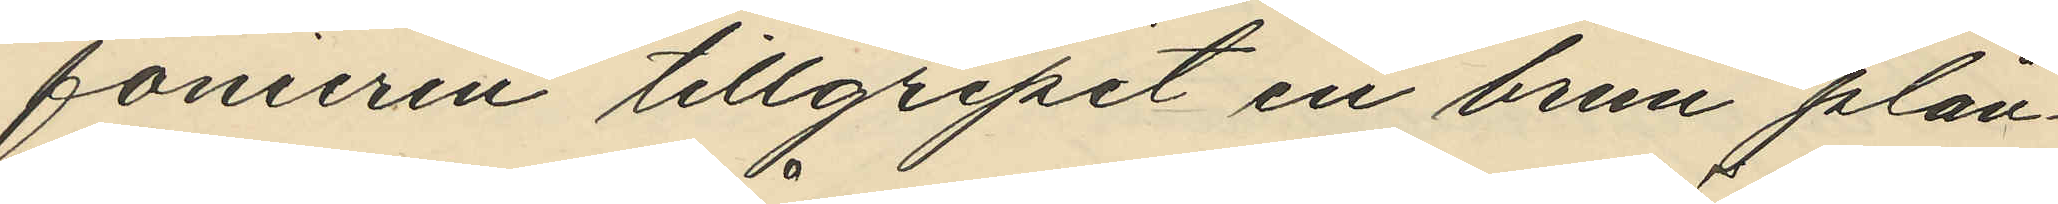fonieren tillgripit en brun plån¬
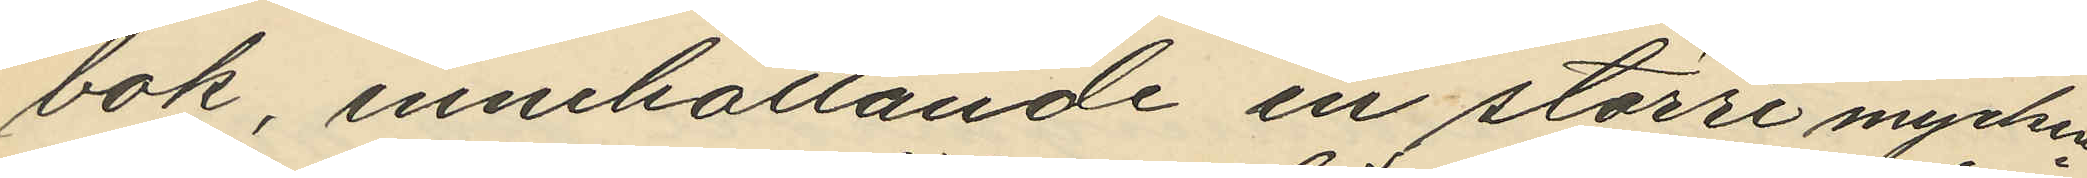bok innehållande en större mycken¬
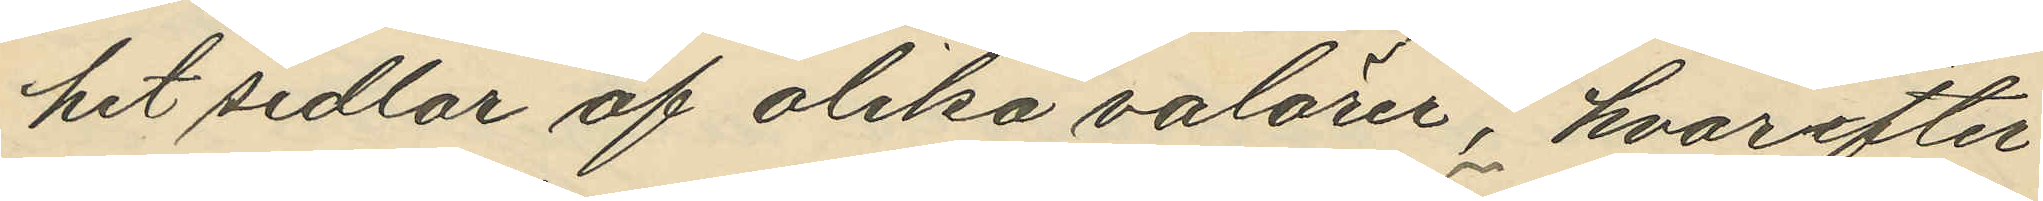het sedlar af olika valören, hvarefter
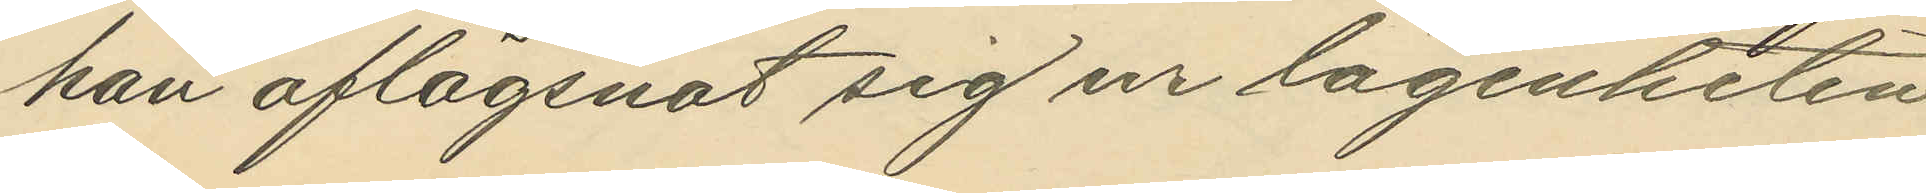han aflägsnat sig ur lägenheten
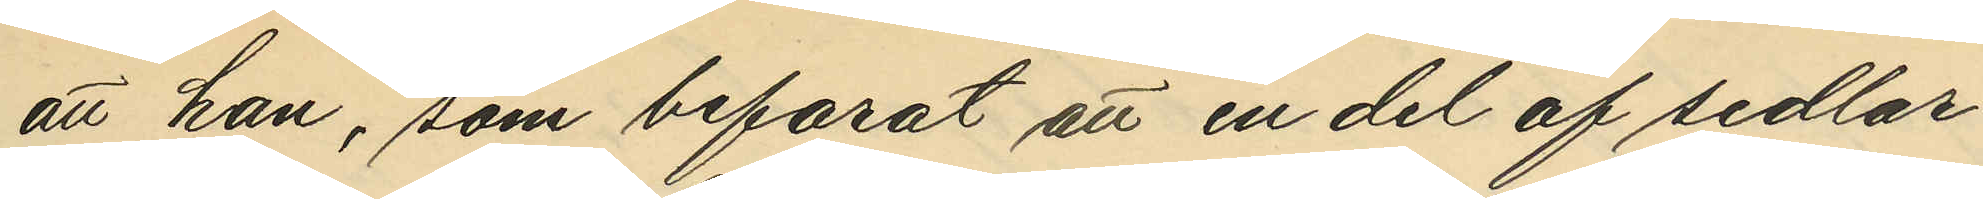att han, som befarat att en del af sedlar¬
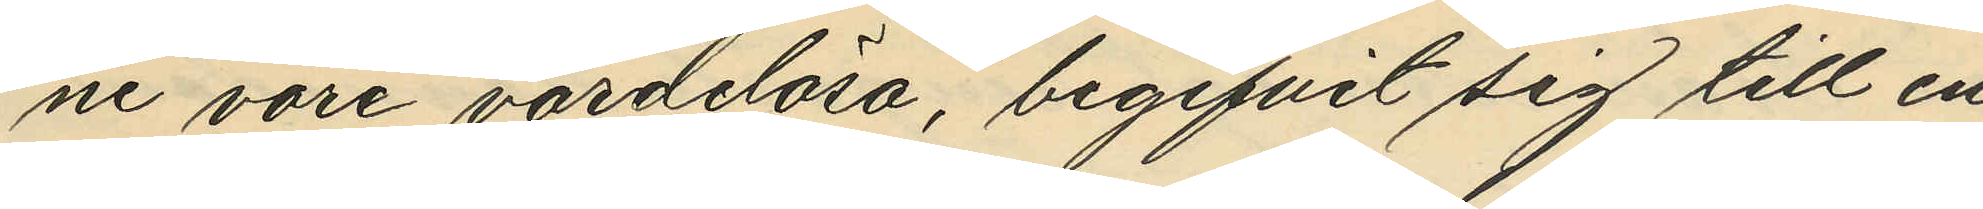ne vore värdelösa, begifvit sig till en
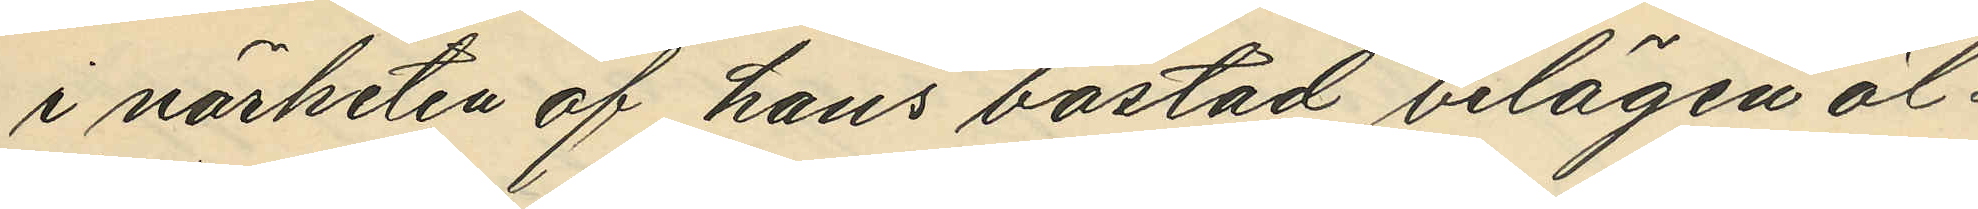i närheten af hans bostad belägen öl¬
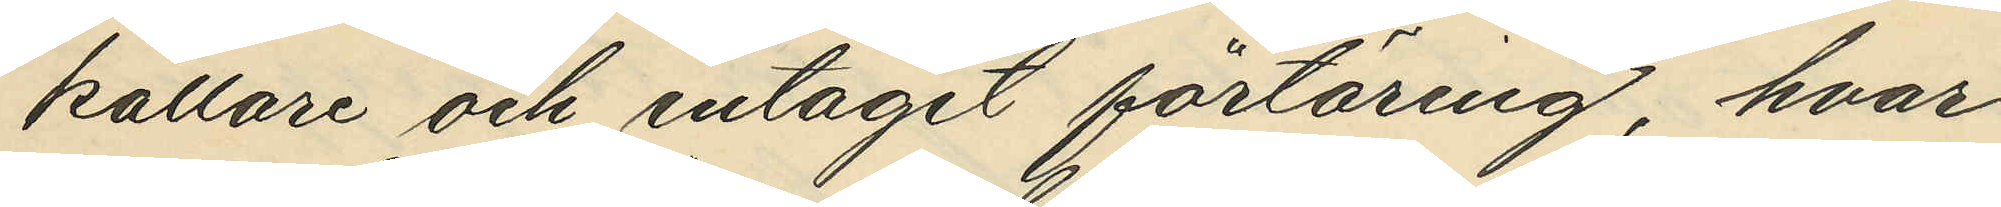källare och intagit förtäring, hvar¬
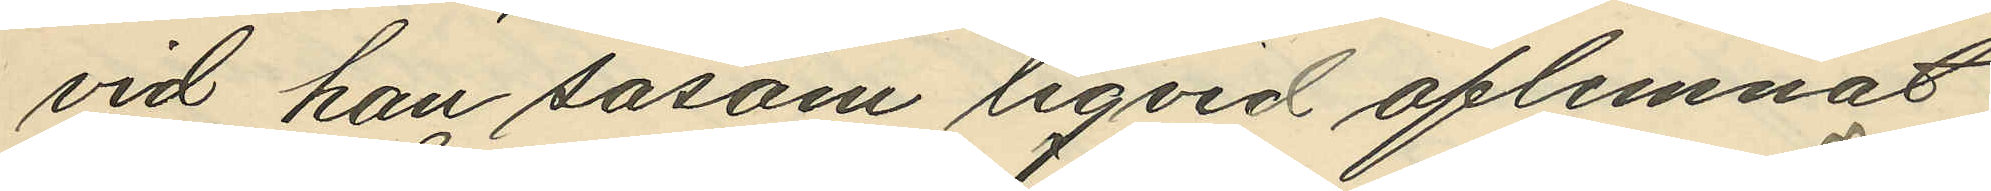vid han såsom liqvid aflemnat
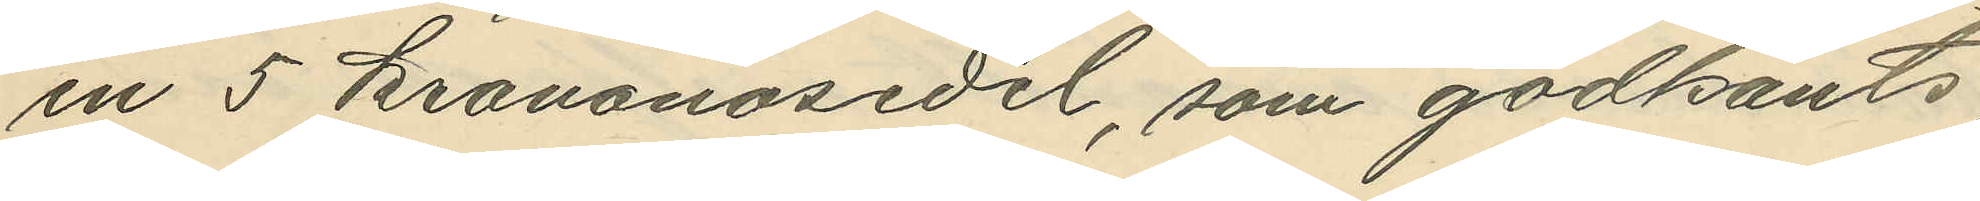en 5 krononosedel, som godkänts;
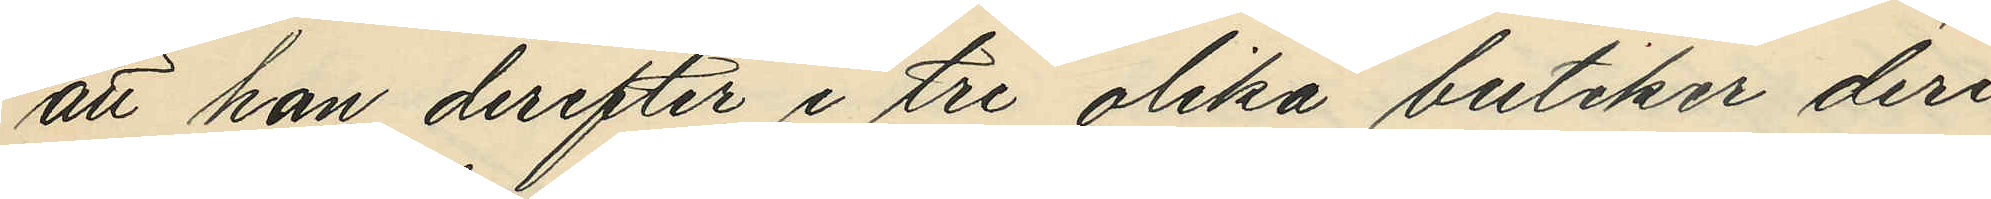att han derefter i tre olika butiker deri¬
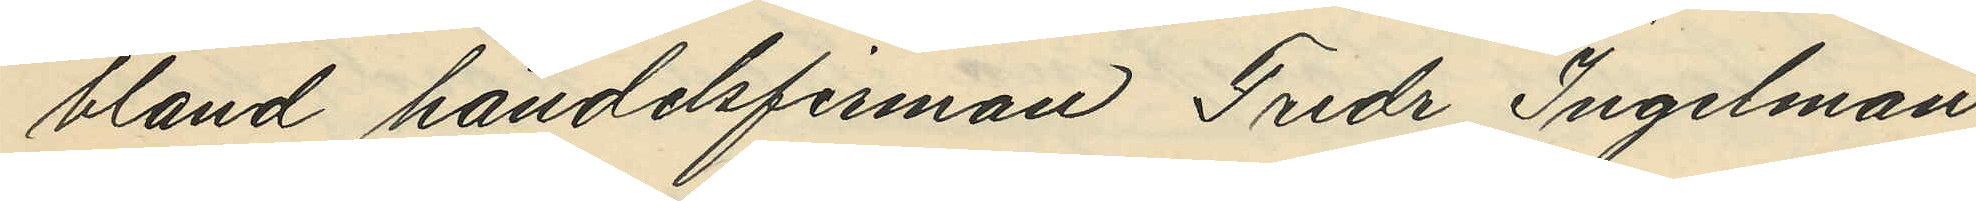bland handelsfirman Fredr Ingelman
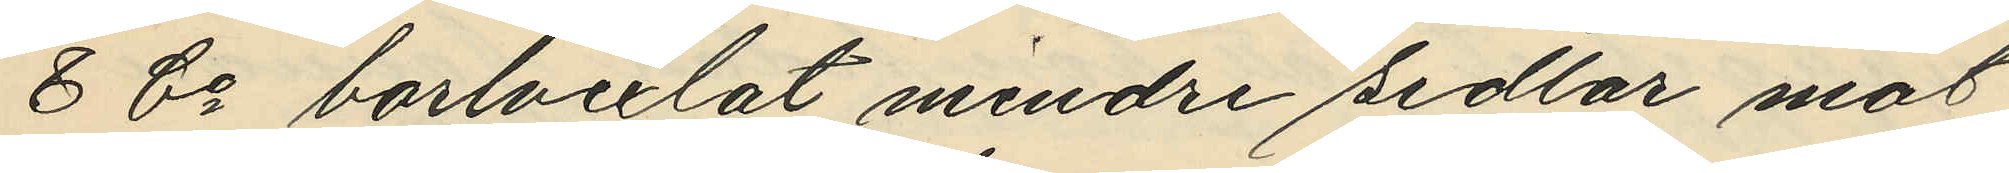& Co bortvexlat mindre sedlar mot
